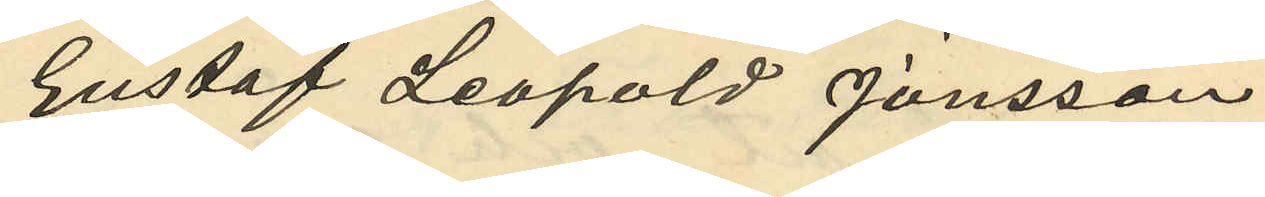Gustaf Leopold Jönsson
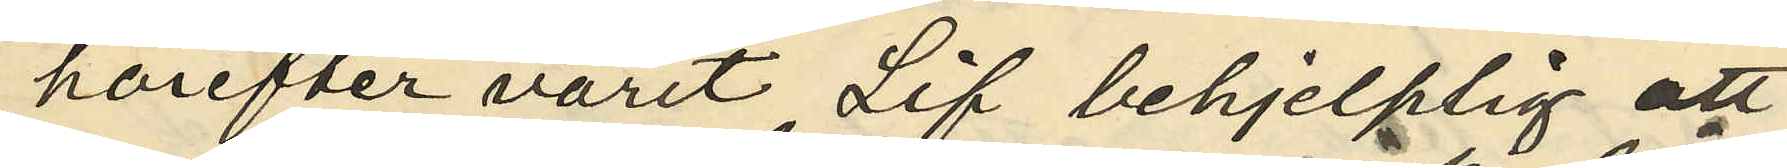härefter varit Lif behjelplig att
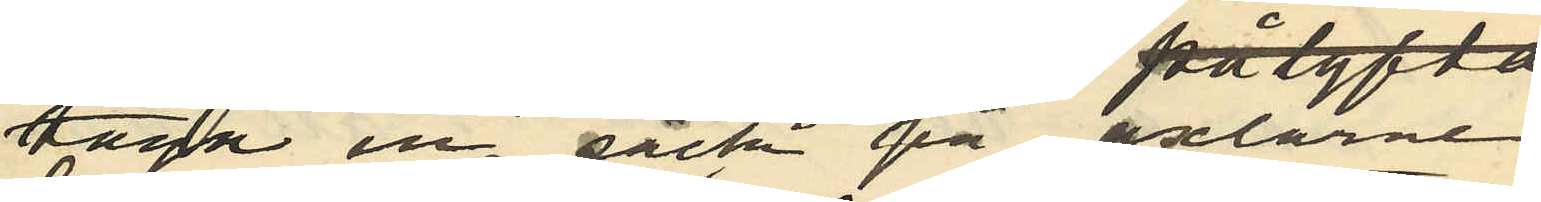taga en säck på axlarne,
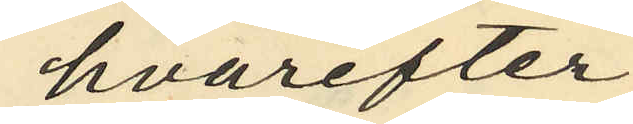hvarefter
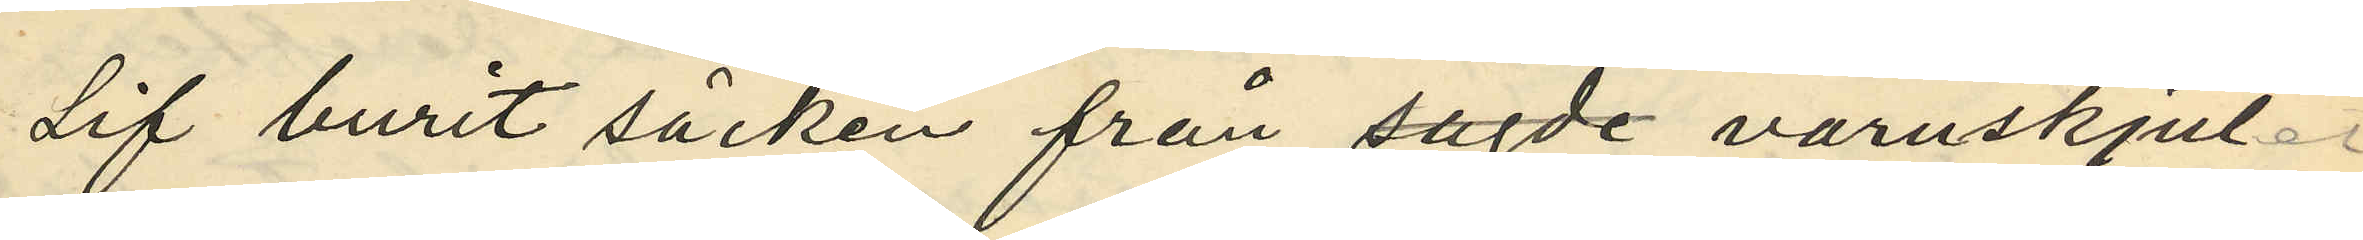Lif burit säcken från sagde varuskjul
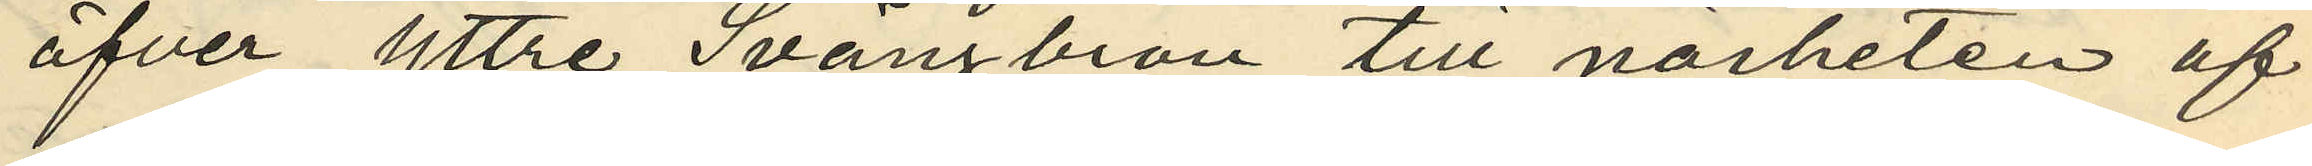öfver yttre Svängbron till närheten af
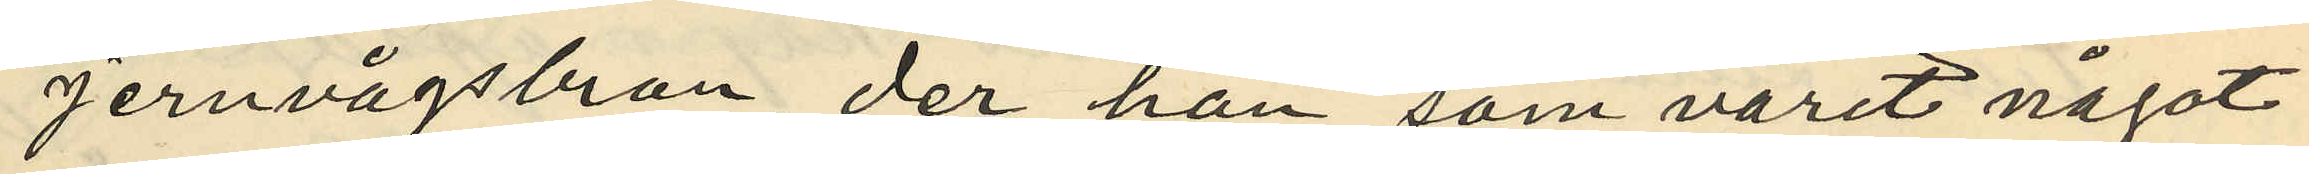Jernvägsbron, der han, som varit något
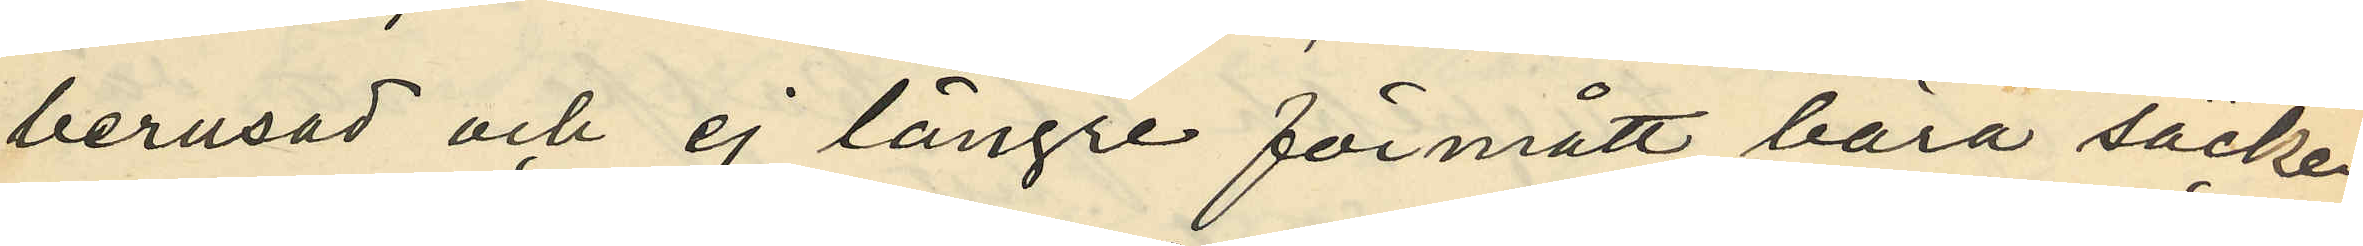berusad och ej längre förmått bära säcken,
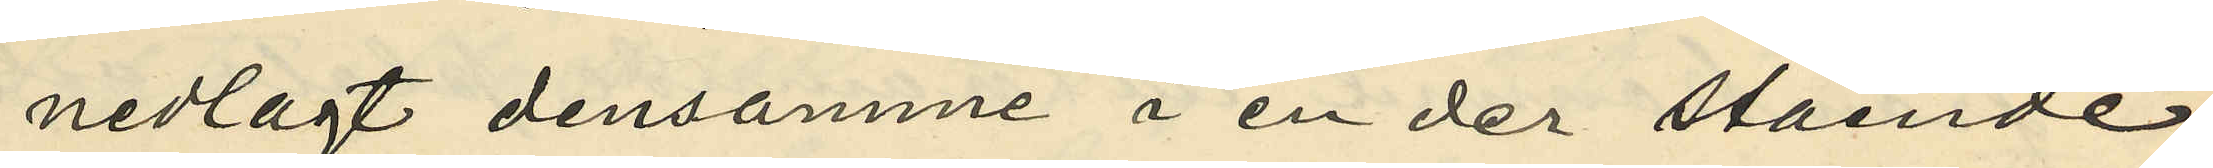nedlagt densamme i en der stående
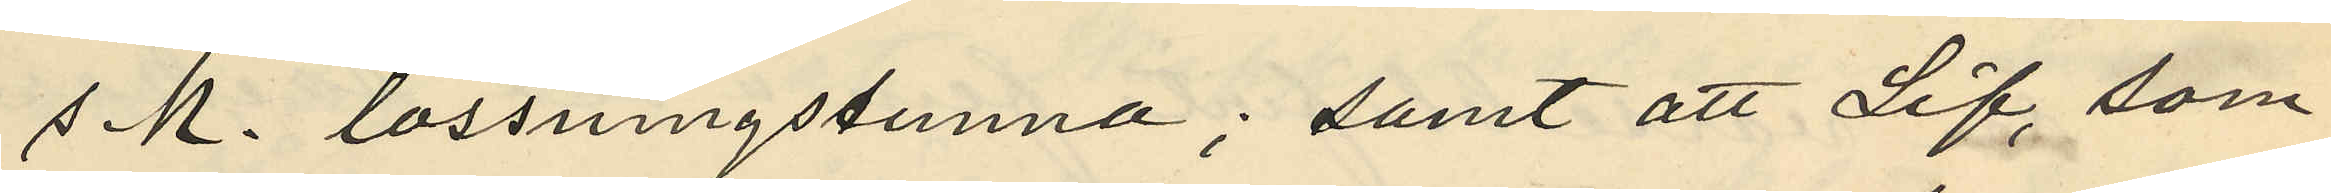s.k. lossningstunna; samt att Lif, som
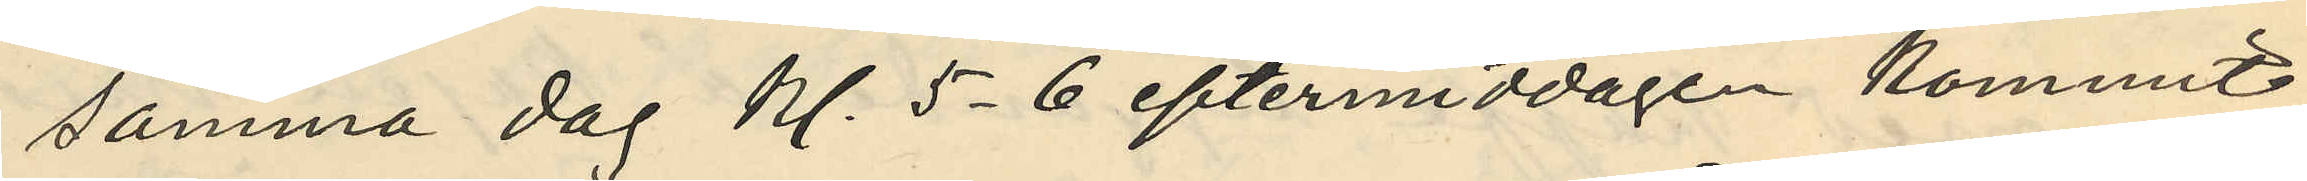samma dag kl. 5-6 eftermiddagen kommit
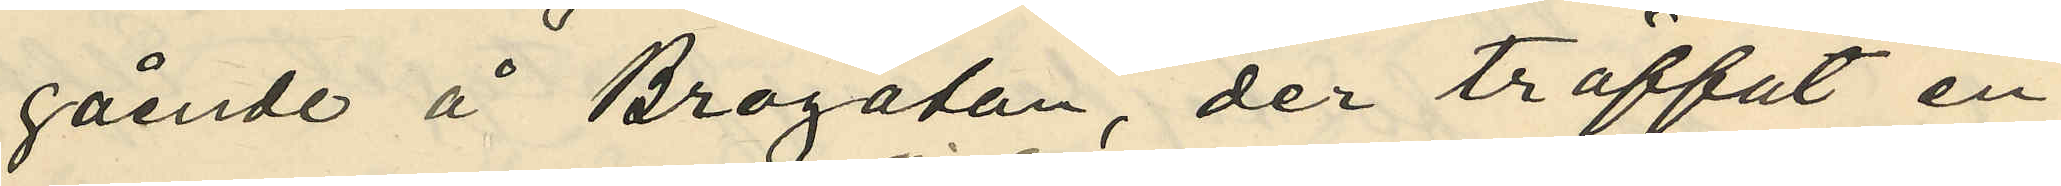gående å Brogatan der träffat en
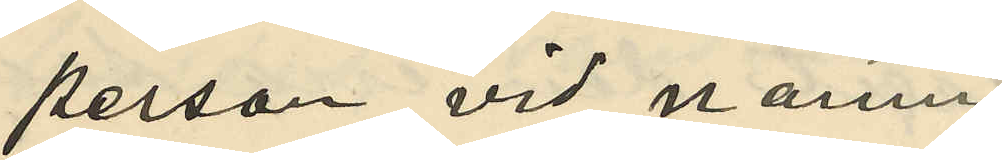person vid namn
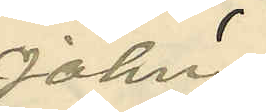John,
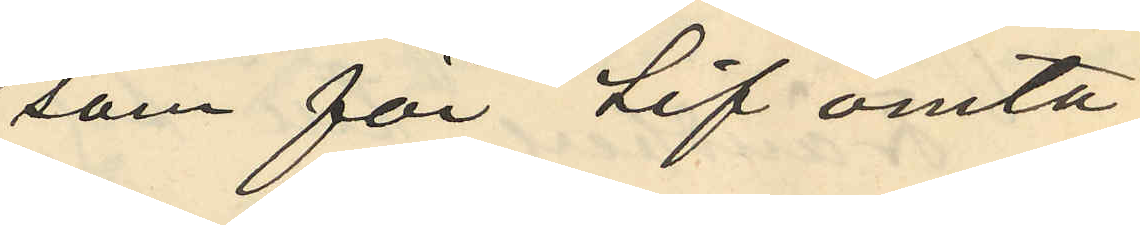som för Lif omta¬
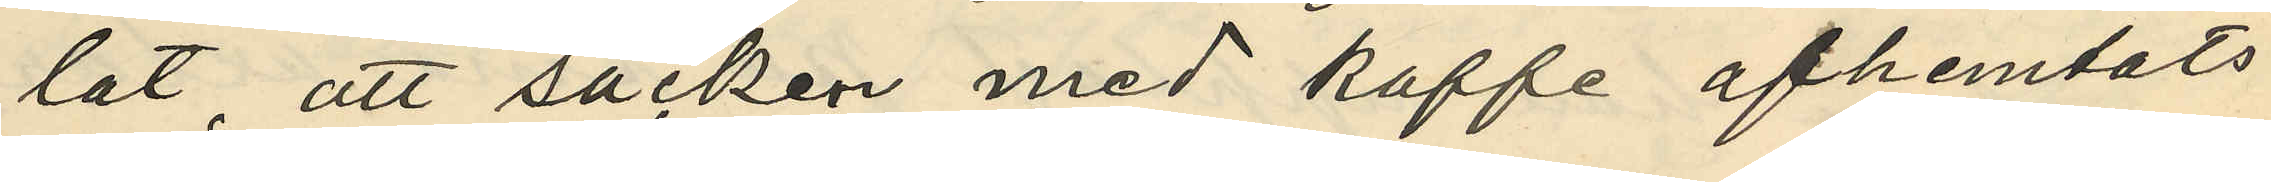lat, att säcken med kaffe afhemtats
